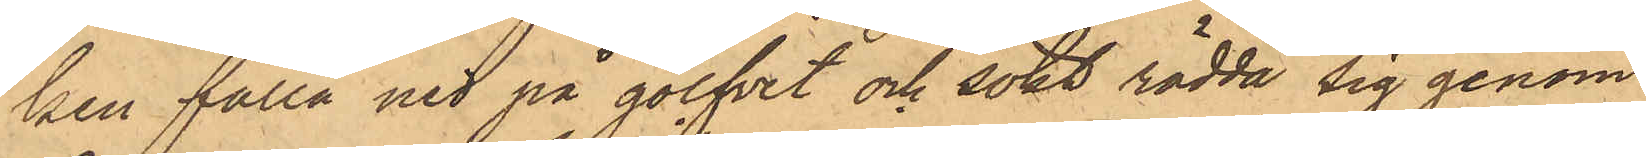ken falla ned på golfvet och sökt rädda sig genom
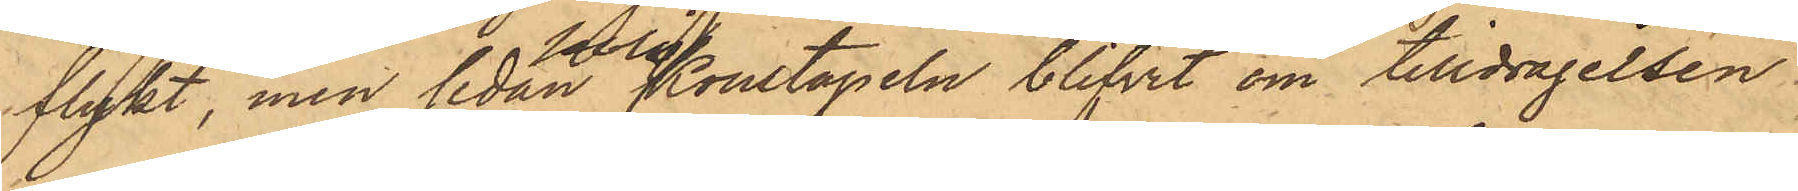flykt, men sedan polisKonstapeln blifvit om tilldragelsen
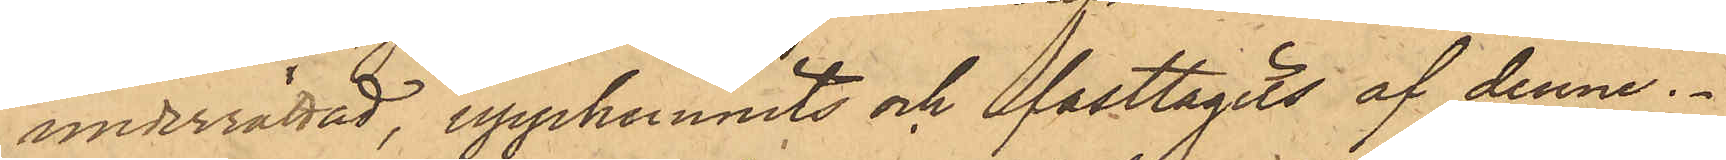underrättad, upphunnits och fasttagits af denne.
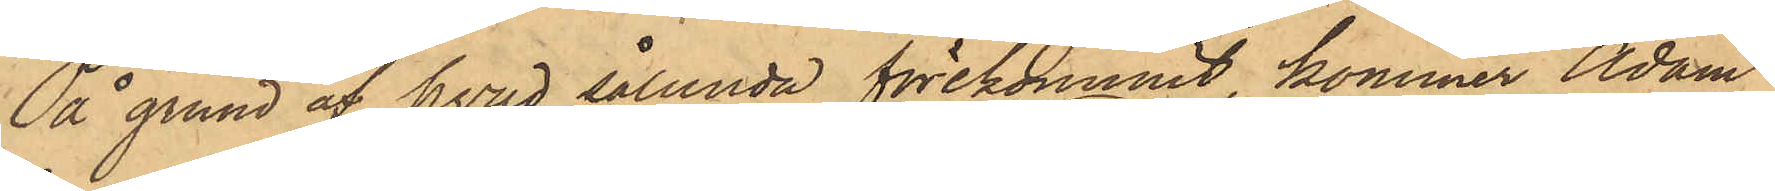På grund af hvad sålunda förekommit, kommer Adam
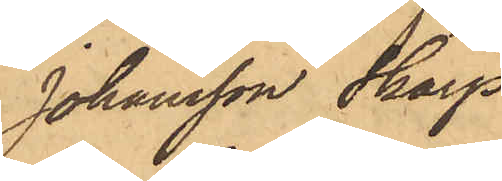Johansson Skarp
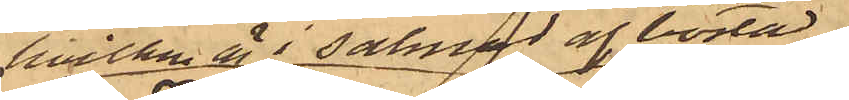hvilken är i saknad af bostad
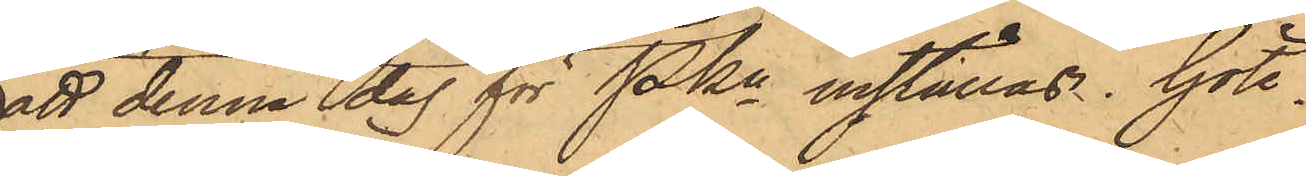att denna dag för PKn inställas. Göte¬
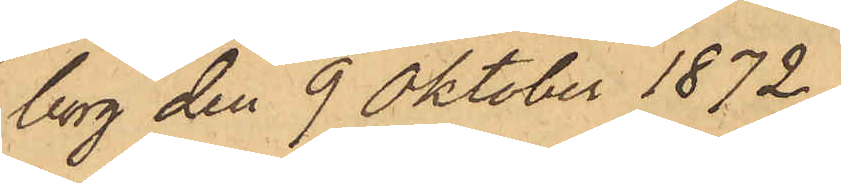borg den 9 Oktober 1872.
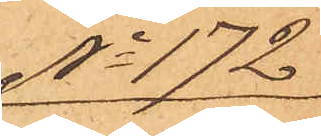No 172
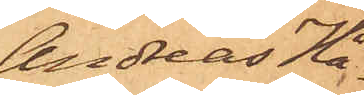Andreas Hå¬
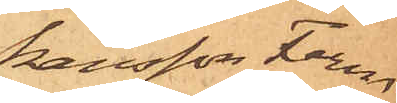kansson Ferm
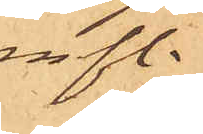m fl.
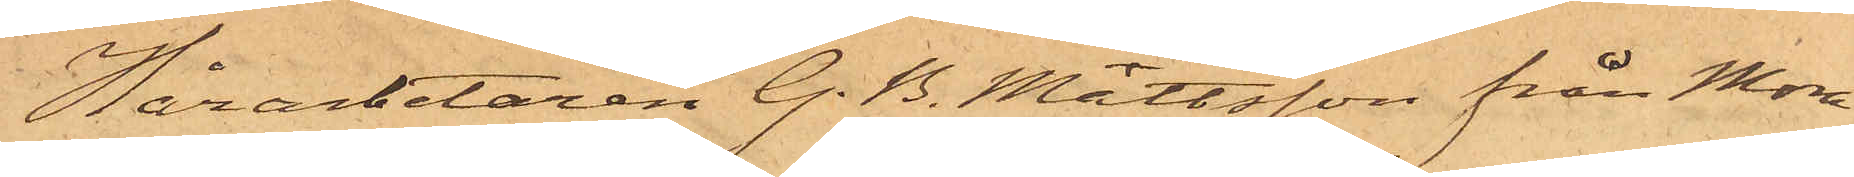Hårarbetaren G. B. Mattsson från Mora
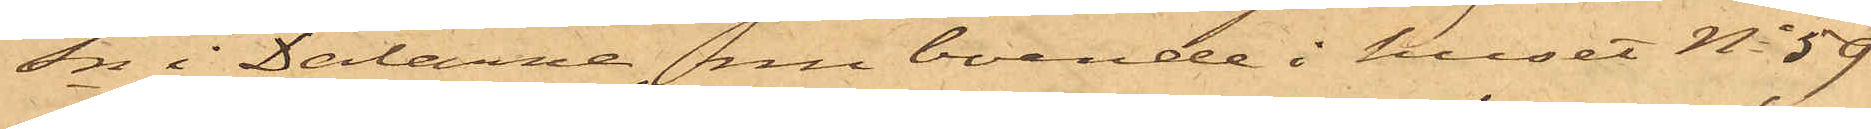Sn i Dalarne, nu boende i huset No 59
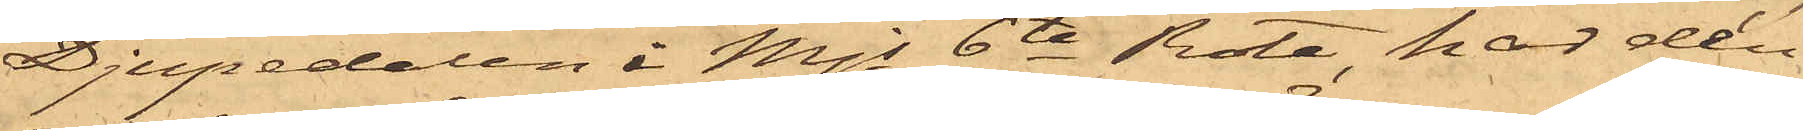Djupedalen i Mjs 6te Rote, har den
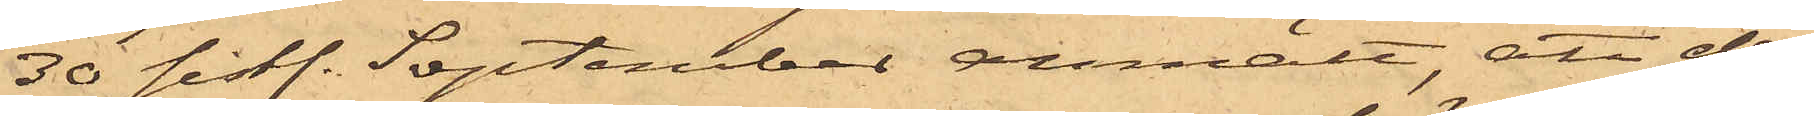30 sistl. September anmält, att der¬
